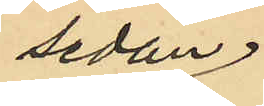sedan
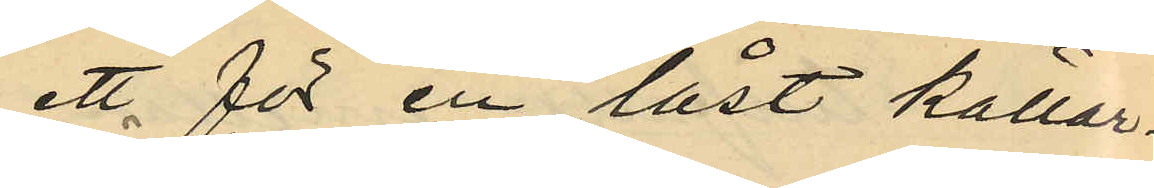ett för en låst källar¬
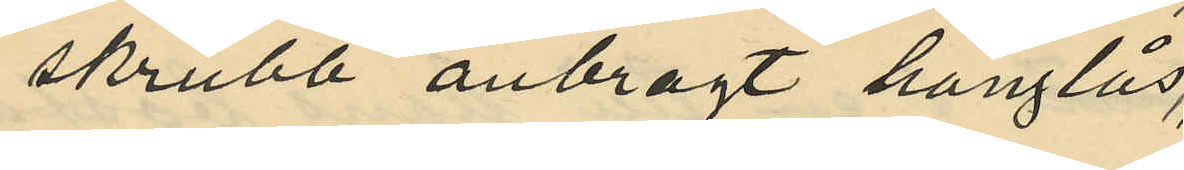skrubb anbragt hänglås,
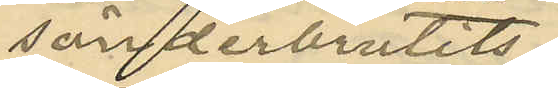sönderbrutits
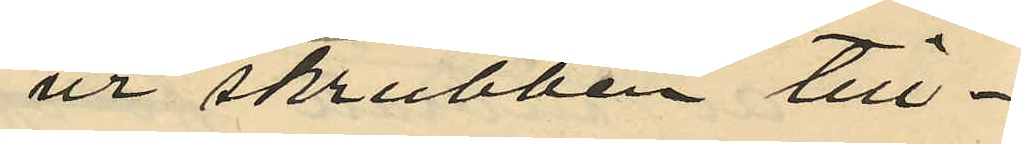ur skrubben till¬
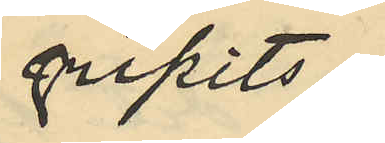gripits
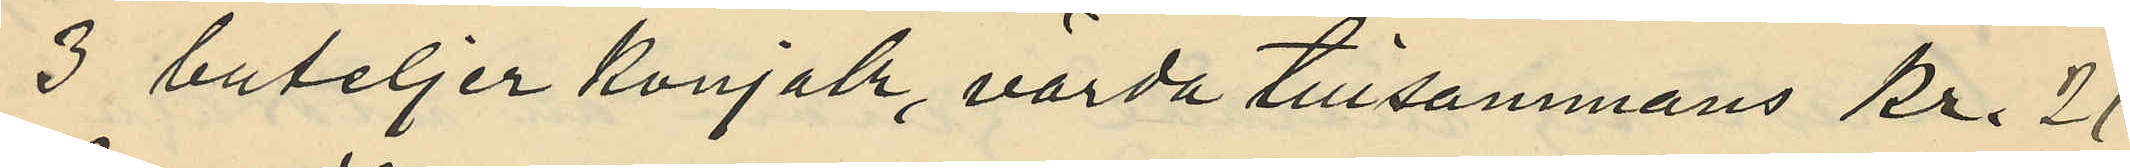3 buteljer konjak, värda tillsammans Kr. 21
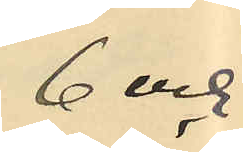6 och
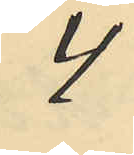4
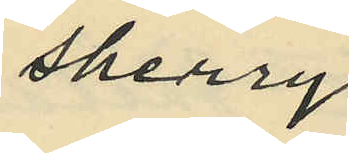sherry
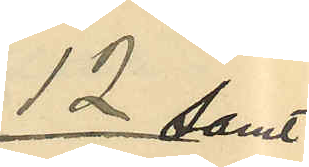12 samt
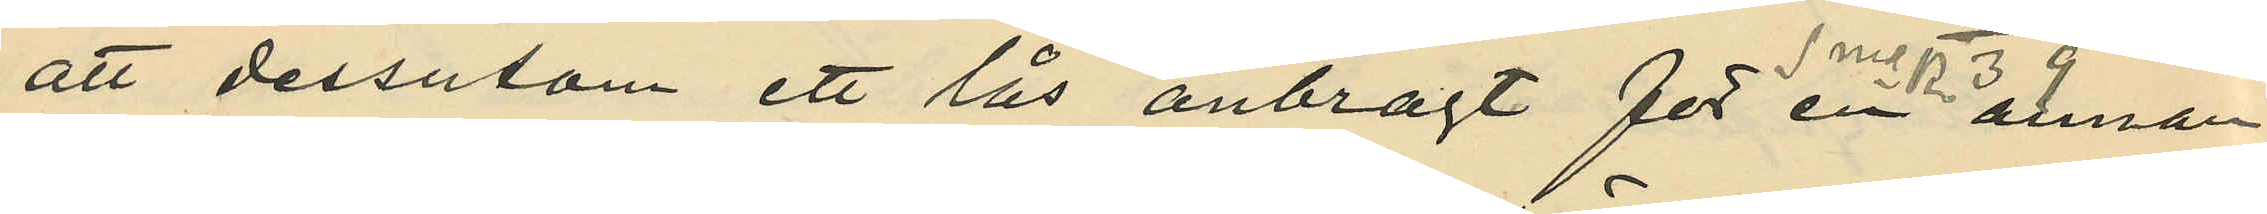att dessutom ett lås anbragt för en annan
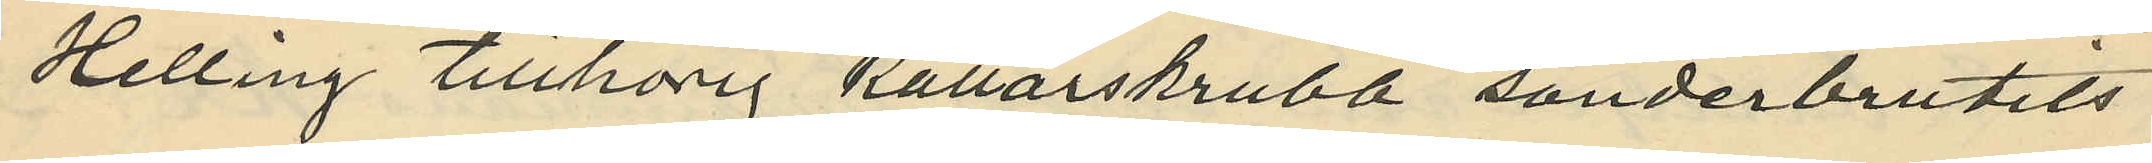Helling tillhörig källarskrubb sönderbrutits
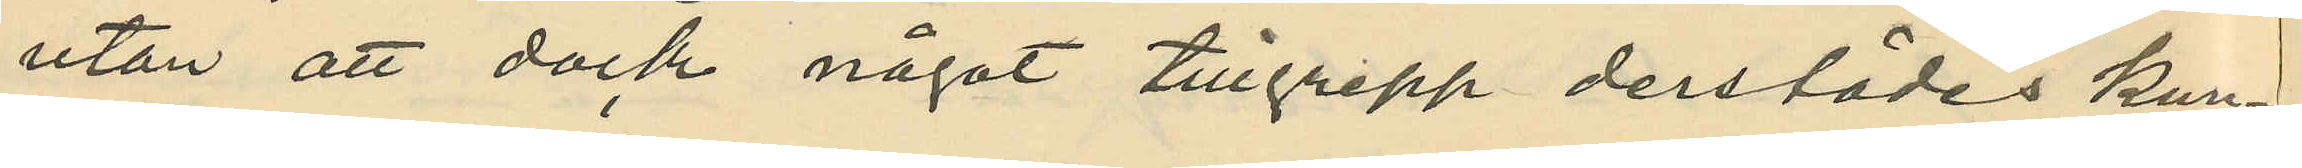utan att dock något tillgrepp derstädes kun¬
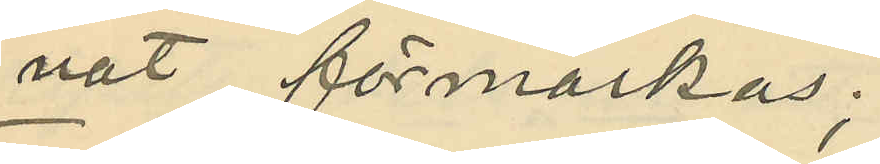nat förmärkas;
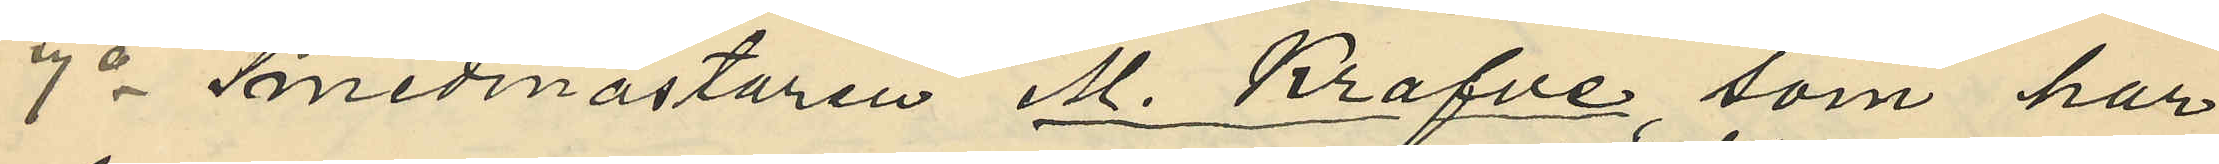7o Smedmästaren M. Krafve som har
